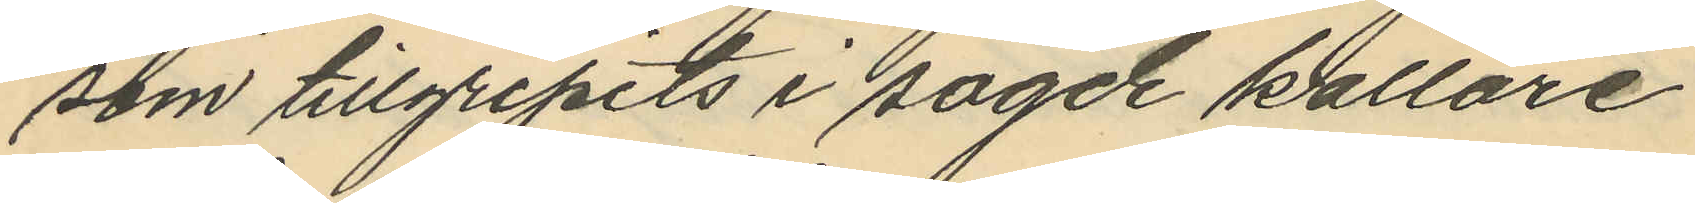som tillgripits i sagde källare
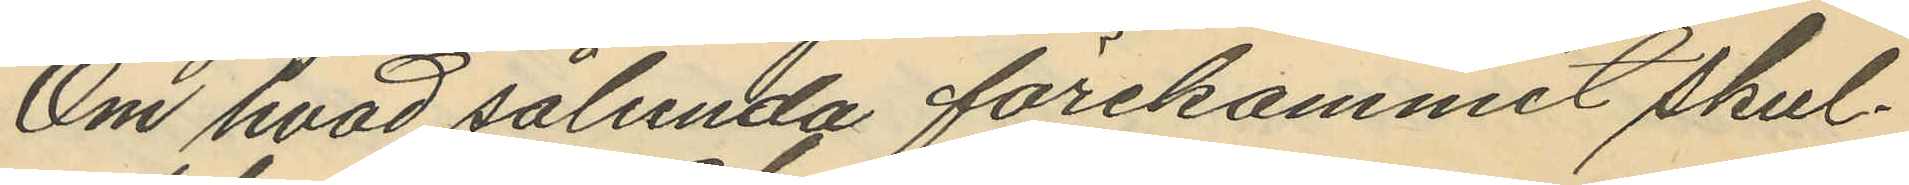Om hvad sålunda förekommit skul¬
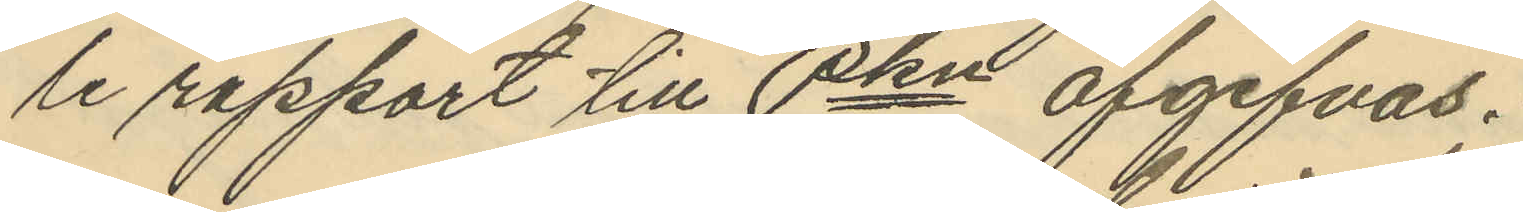le rapport till Pkn afgifvas.
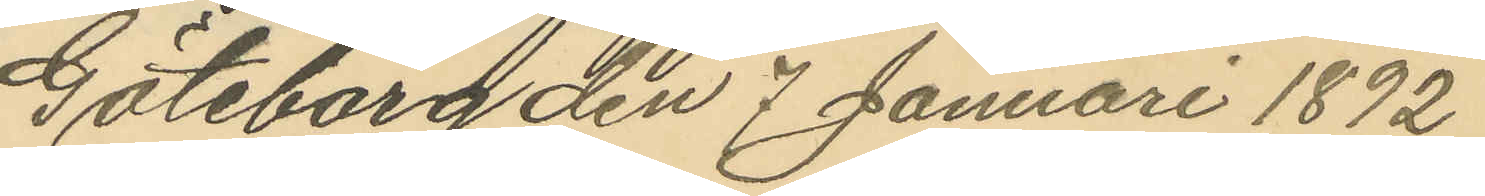Göteborg den 7 Januari 1892
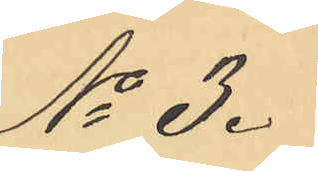No 3.
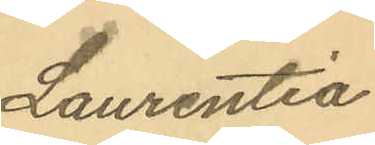Laurentia
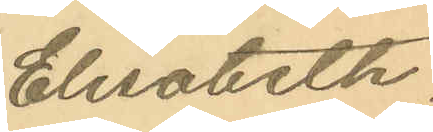Elisabeth
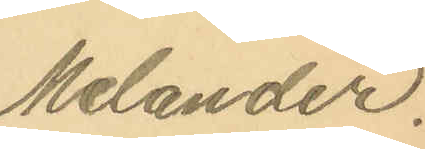Melander.
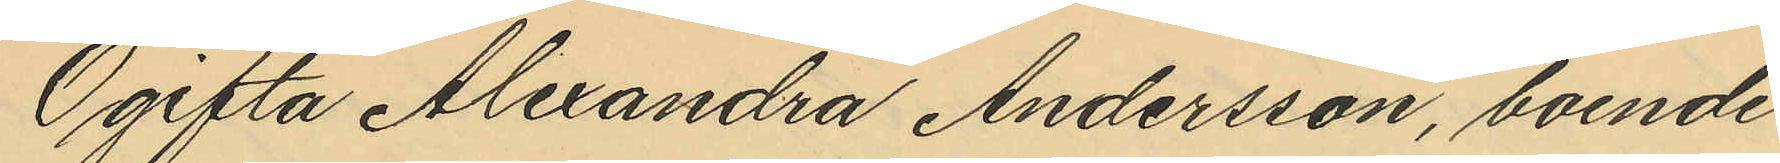Ogifta Alexandra Andersson, boende
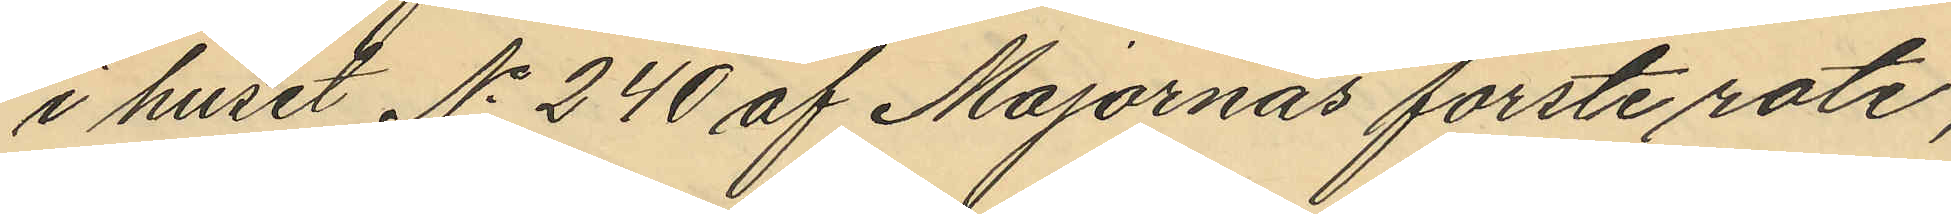i huset No 240 af Majornas förste rote,
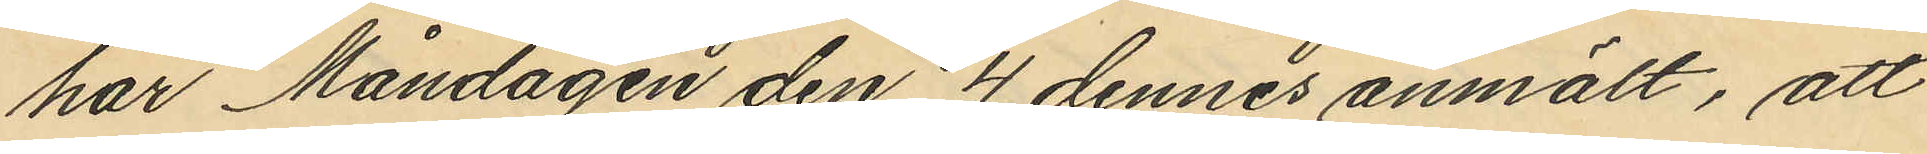har Måndagen den 4 dennes anmält, att
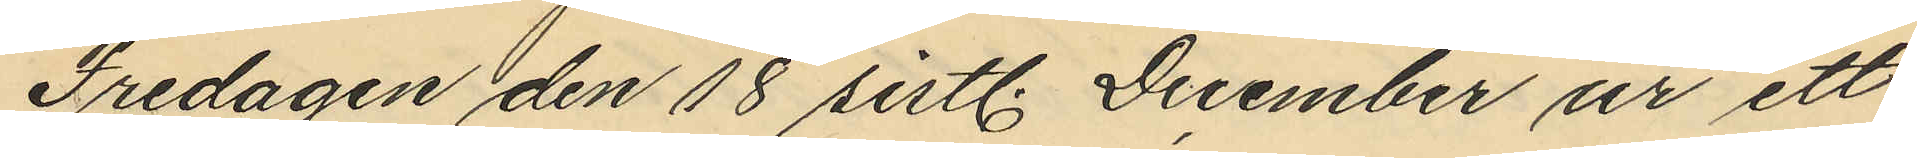Fredagen den 18 sistl. December ur ett
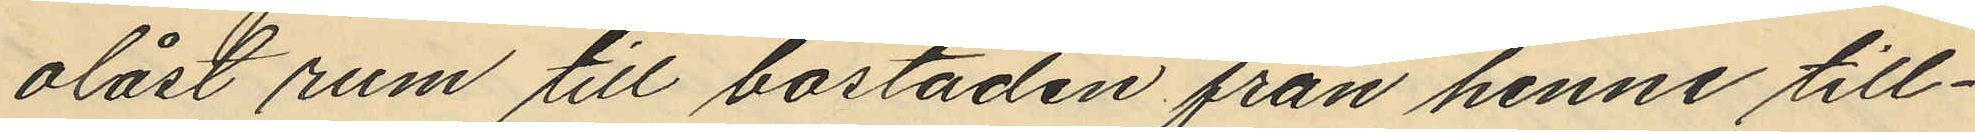olåst rum till bostaden från henne till¬
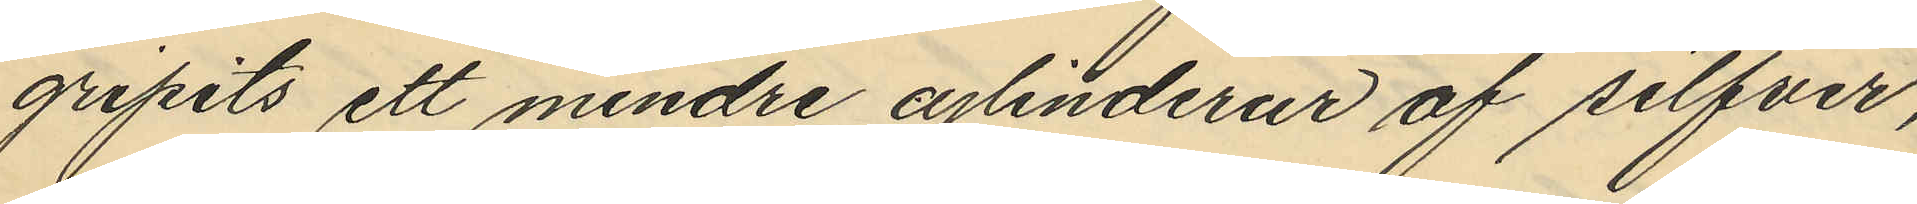gripits ett mindre cylinderur af silfver,
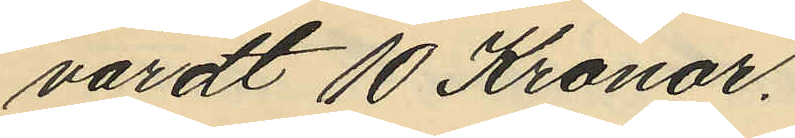värdt 10 Kronor.
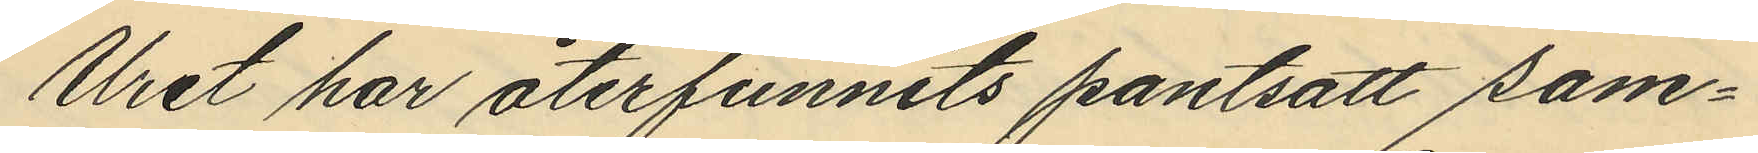Uret har återfunnits pantsatt sam¬
